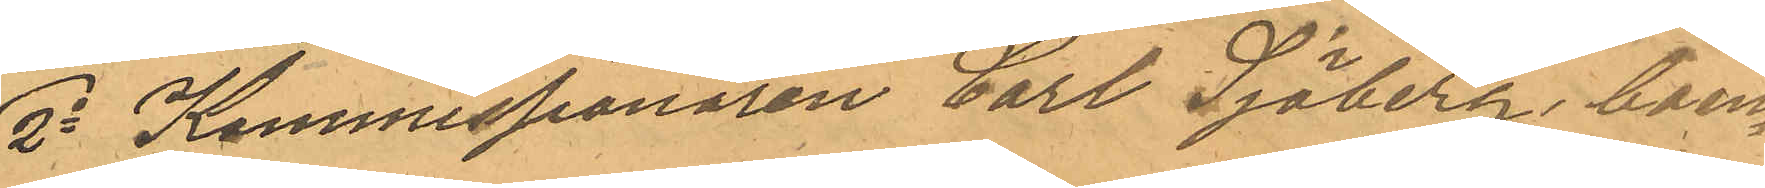2o Kommissionären Carl Sjöberg, boen¬
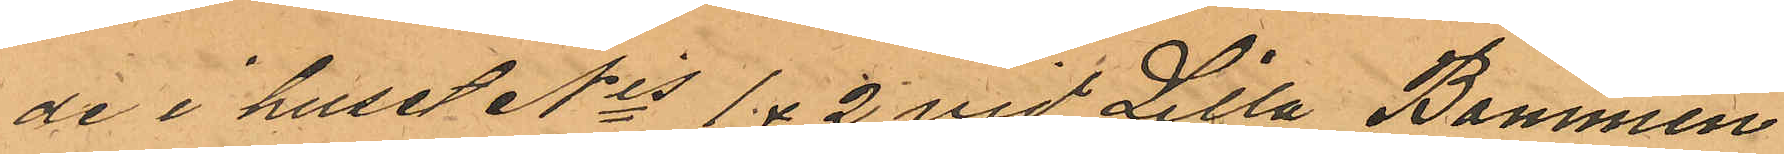de i huset Nis 1 & 2 vid Lilla Bommen
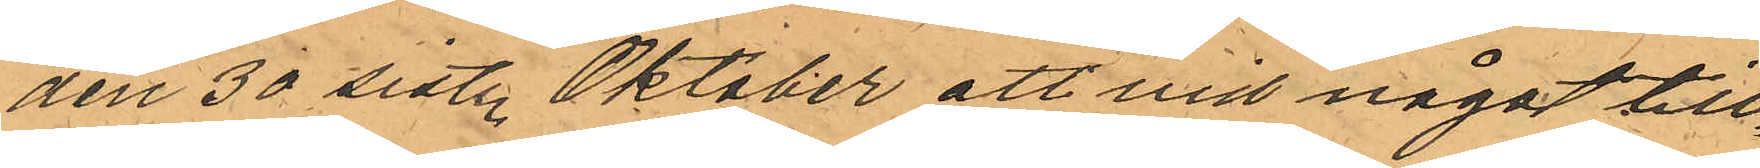den 30 sist. Oktober att vid något till¬
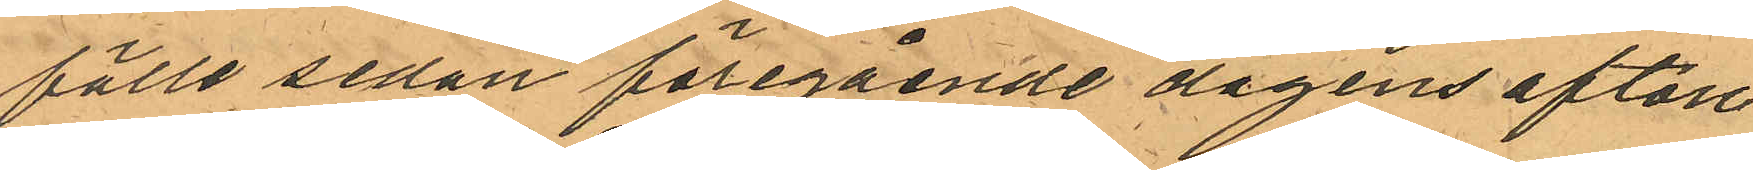fälle sedan föregående dagens afton
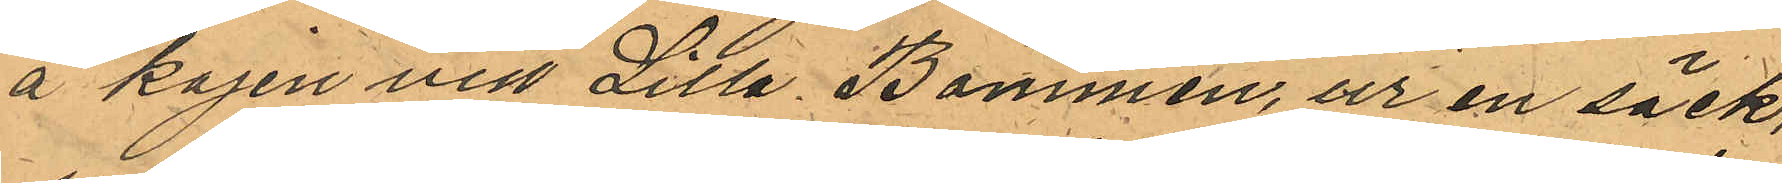å kajen vid Lilla Bommen, ur en säck,
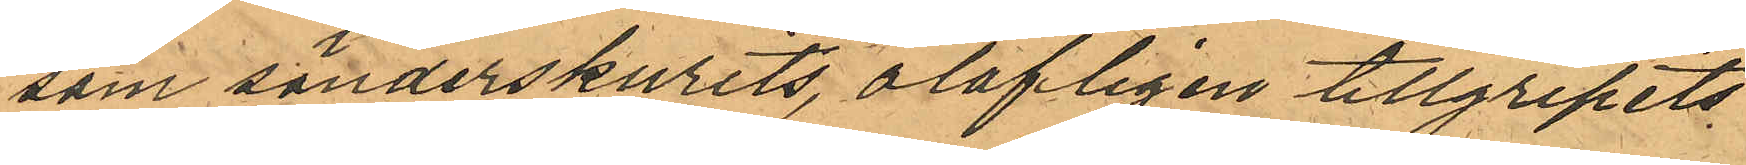som sönderskurits, olofligen tillgripits
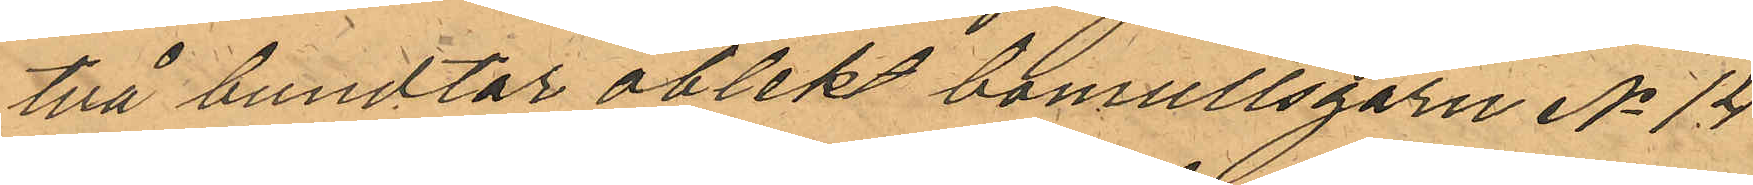två bundtar oblekt bomullsgarn No 14
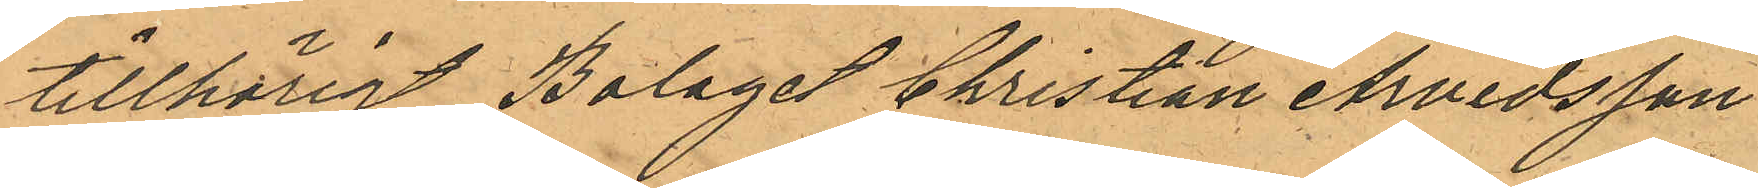tillhörigt Bolaget Christian Arvidsson
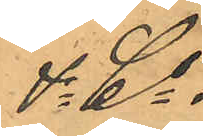& Co.
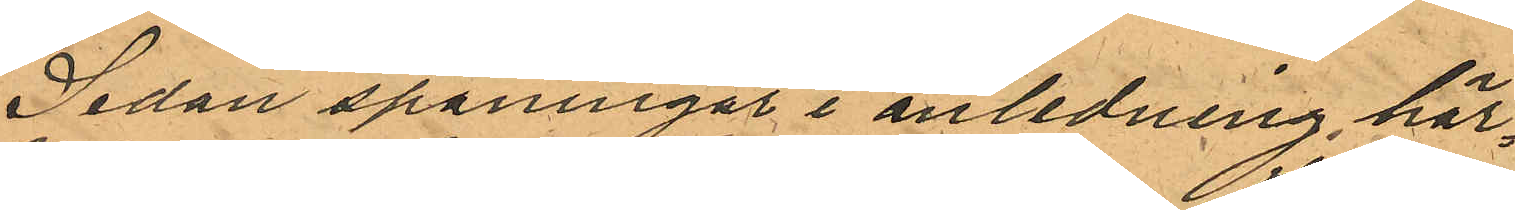Sedan spaningar i anledning här¬
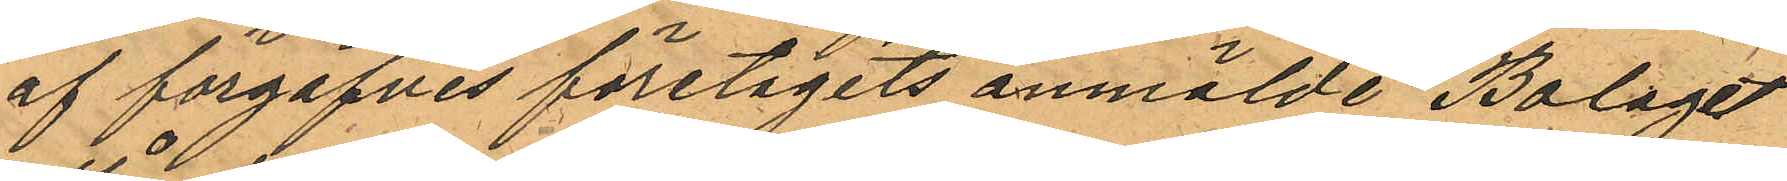af förgäfves företagits anmälde Bolaget
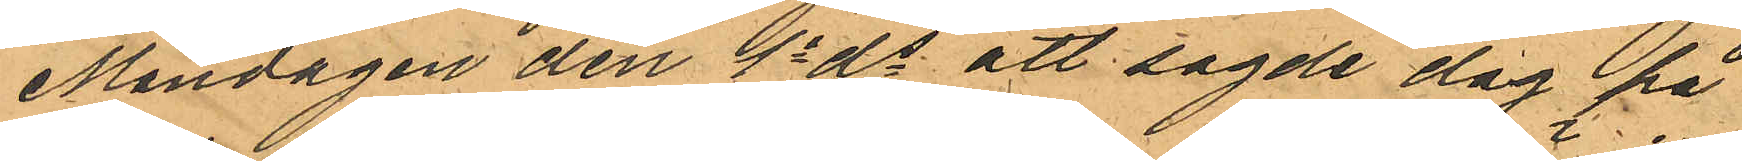Måndagen den 1a ds att sagde dag på
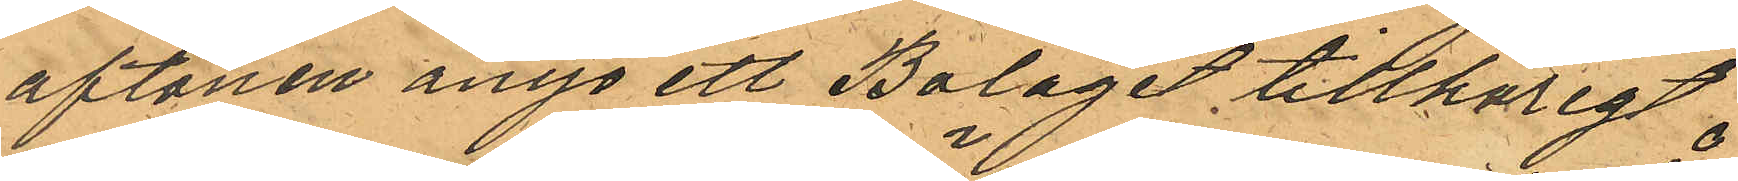aftonen ånyo ett Bolaget tillhörigt
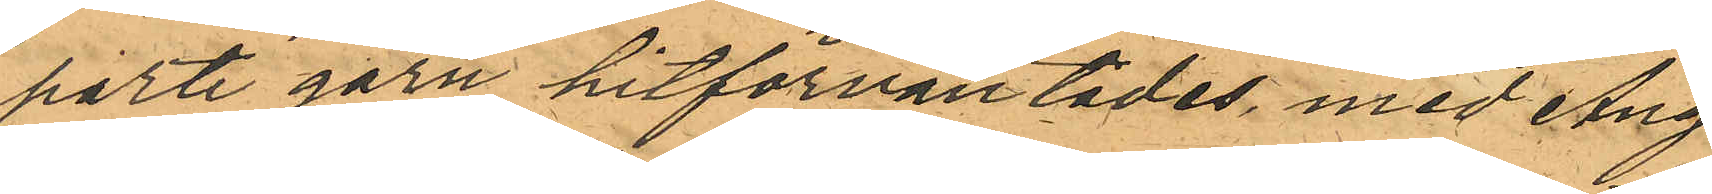parti garn hitförväntades, med Ång¬
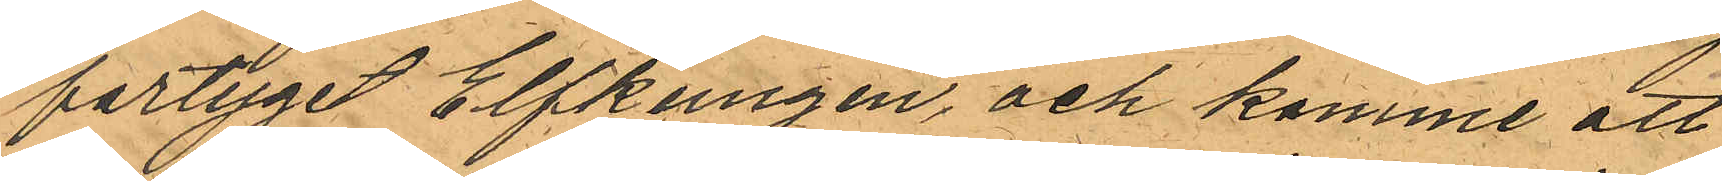fartyget Elfkungen, och komme att
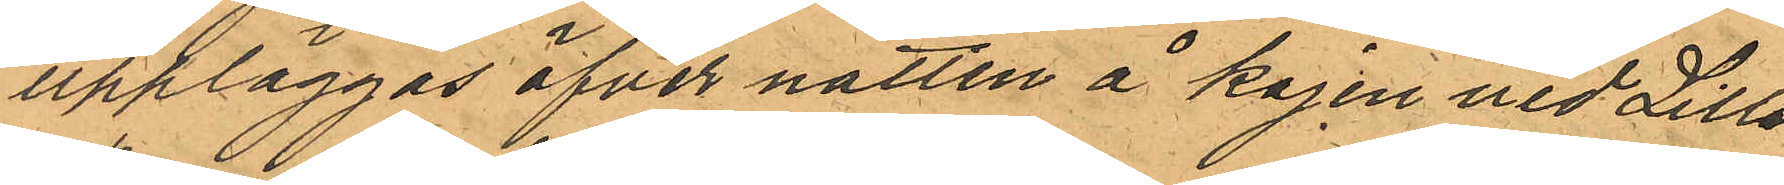uppläggas öfver natten å kajen vid Lilla
